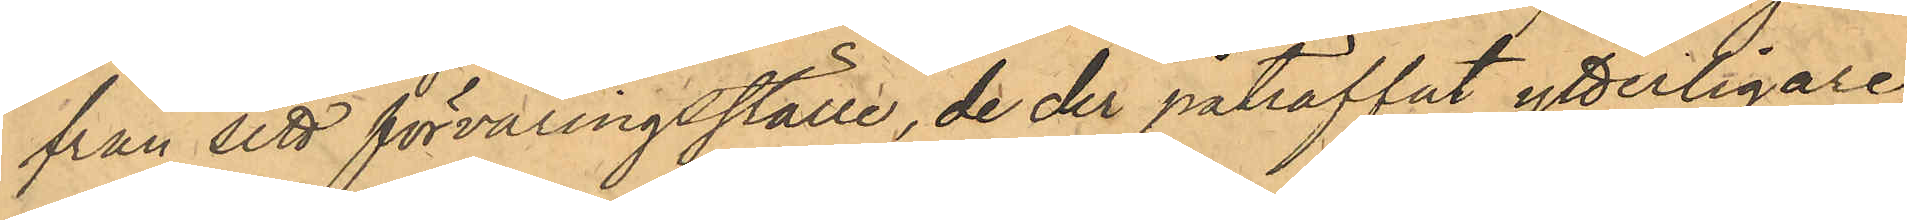från sitt förvaringsställe, de der påträffat ytterligare
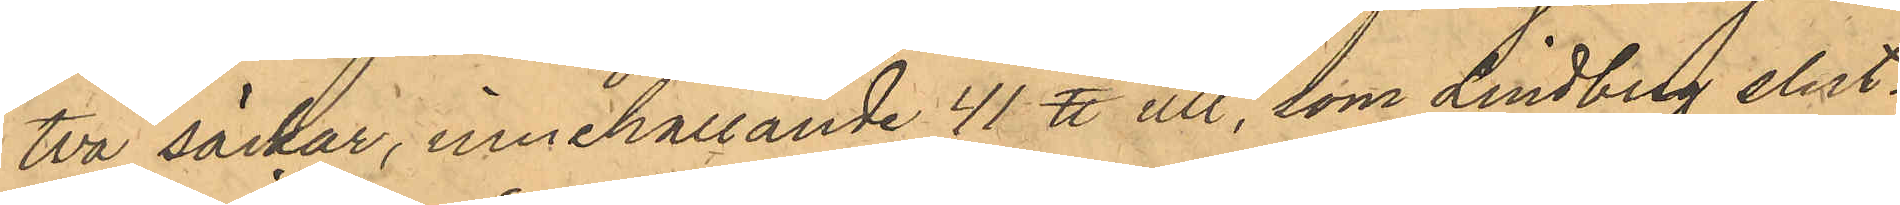två säckar, innehållande 41 ℔ ull, som Lindberg slut¬
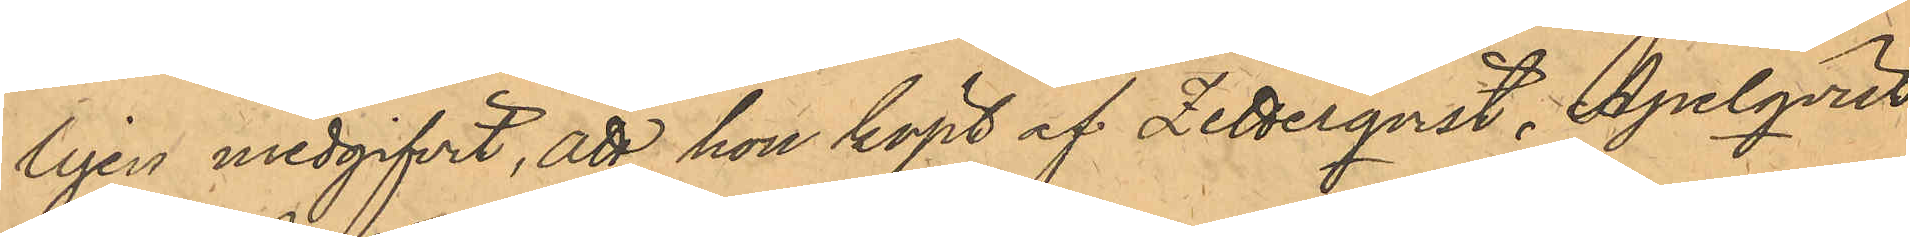ligen medgifvit, att hon köpt af Zetterqvist, Apelqvist
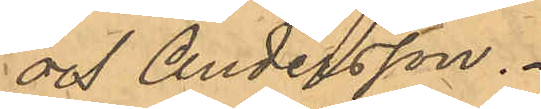och Andersson.
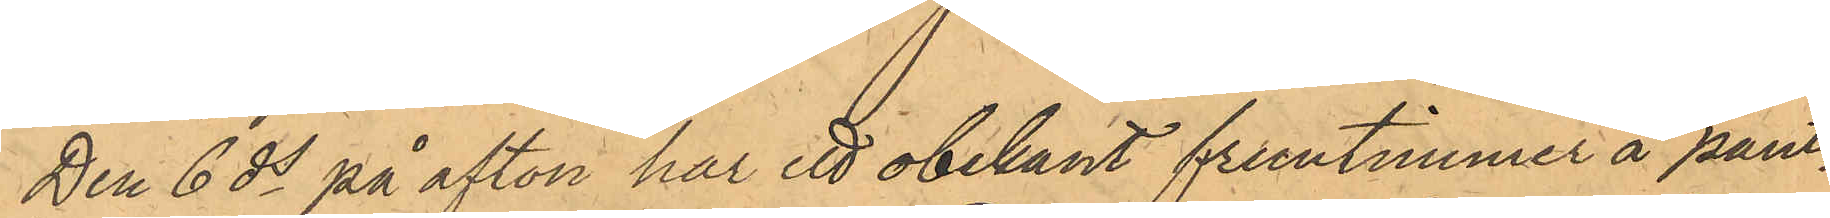Den 6 ds på afton har ett obekant fruntimmer å pant¬
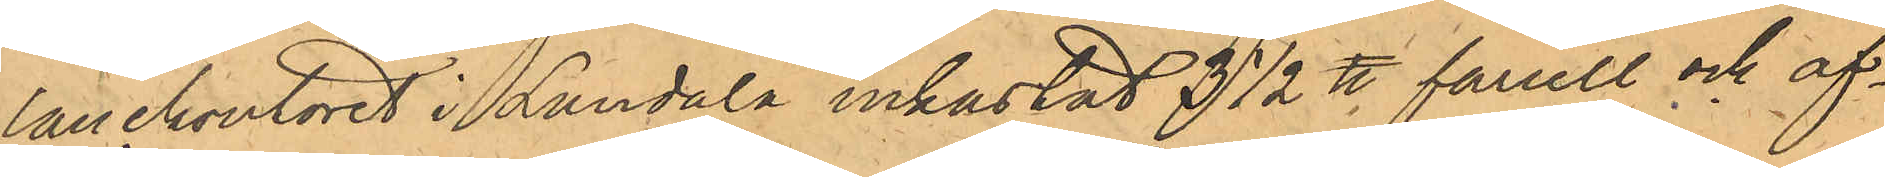lånekontoret i Landala inkastat 3 1/2 ℔ fårull och af¬
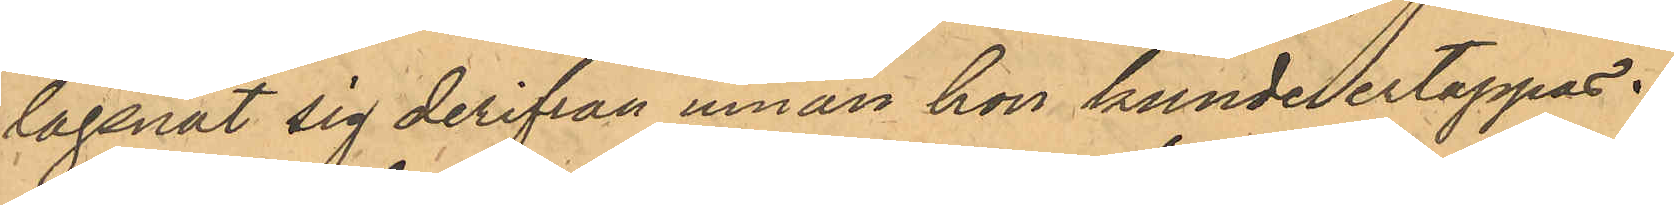lägsnat sig derifrån innan hon kunde ertappas.
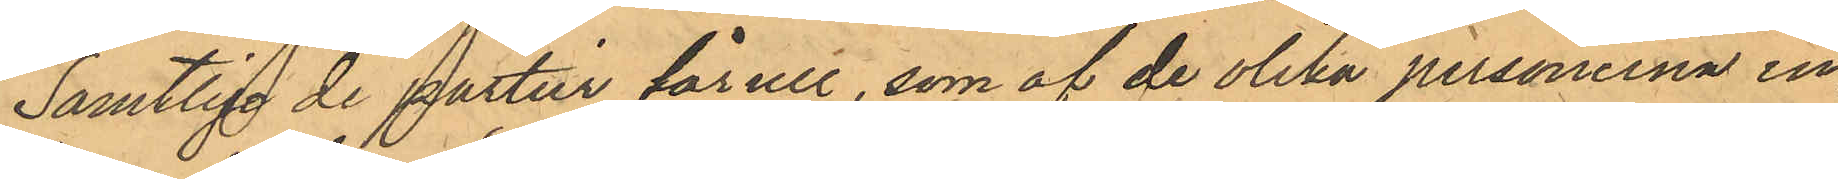Samtlige de partier fårull, som af de olika personerna in¬
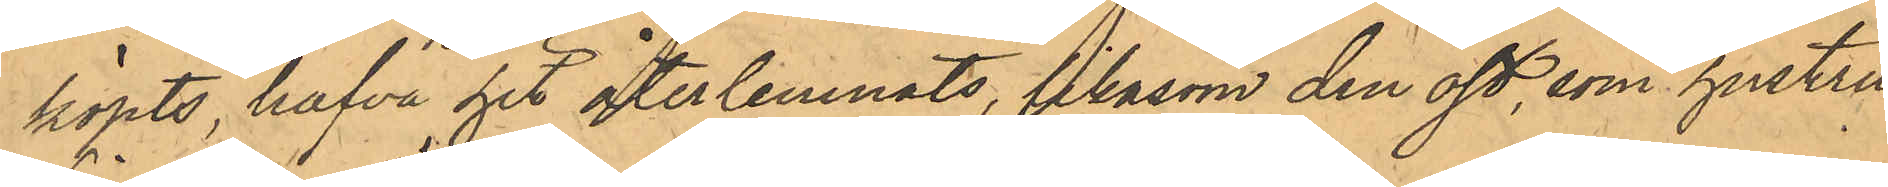köpts, hafva hit återlemnats, likasom den ost, som hustru
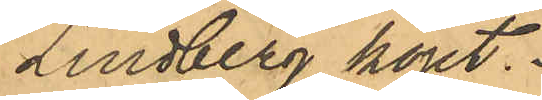Lindberg köpt.
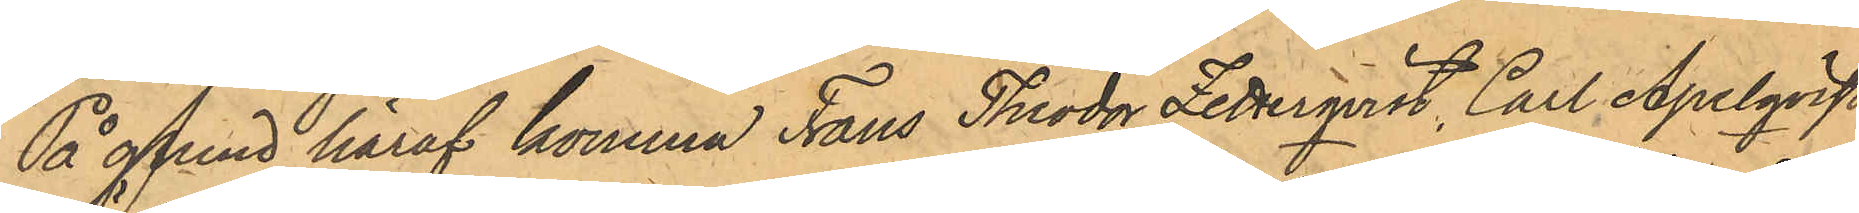På grund häraf komma Frans Theodor Zetterqvist, Carl Apelqvist
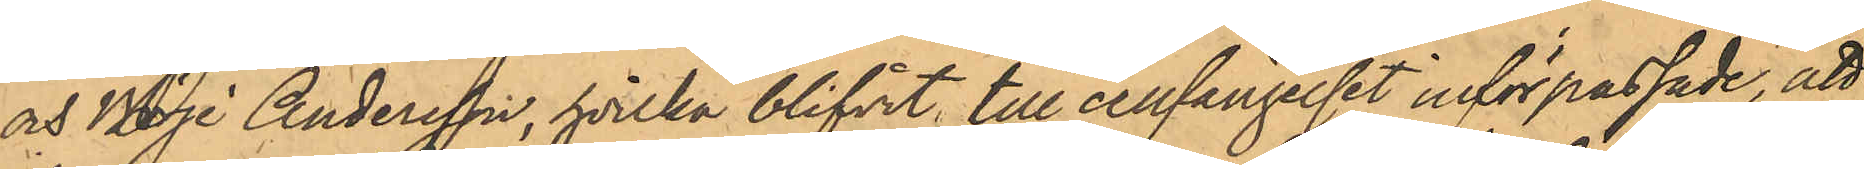och Börje Andersson; hvilka blifvit till cellfängelset införpassade, att 
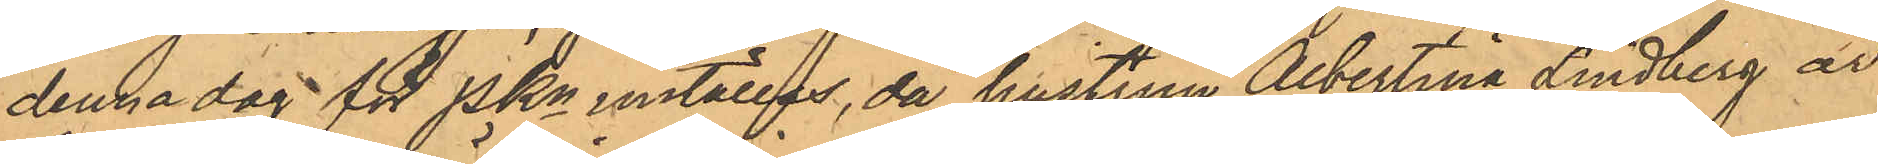denna dag för PKn inställas, då hustrun Albertina Lindberg är
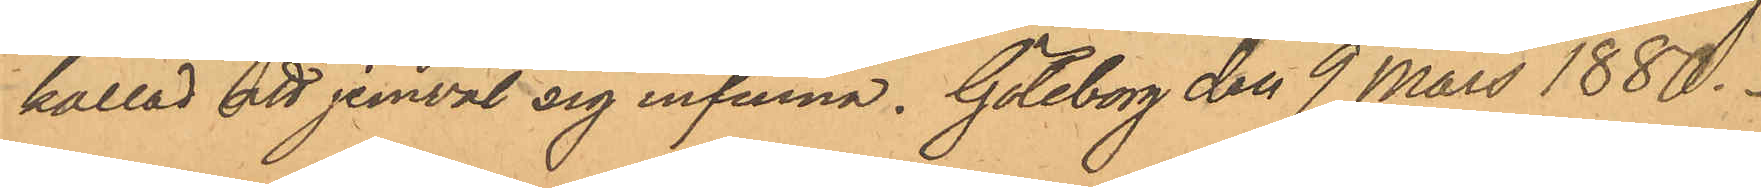kallad att jemväl sig infinna. Göteborg den 9 Mars 1880.
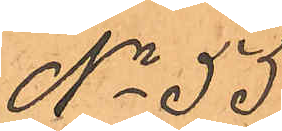No 55.
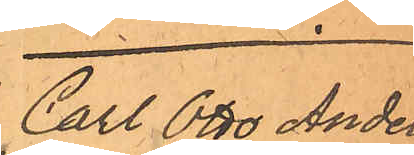Carl Otto Anders¬
